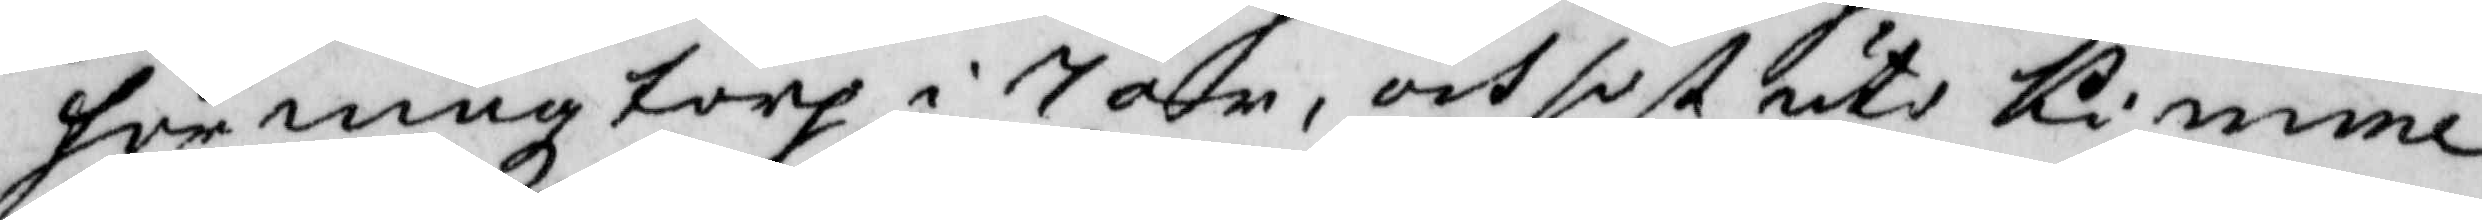hörningz torp i 7 år, och sist uti Kimme
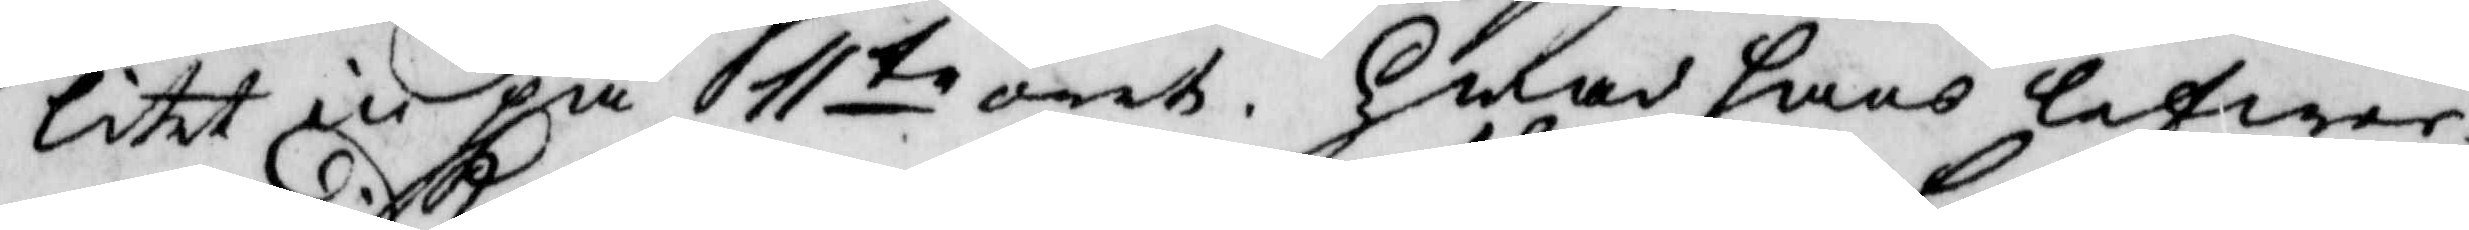litet in på 11te året. Hwad hans lefwer¬
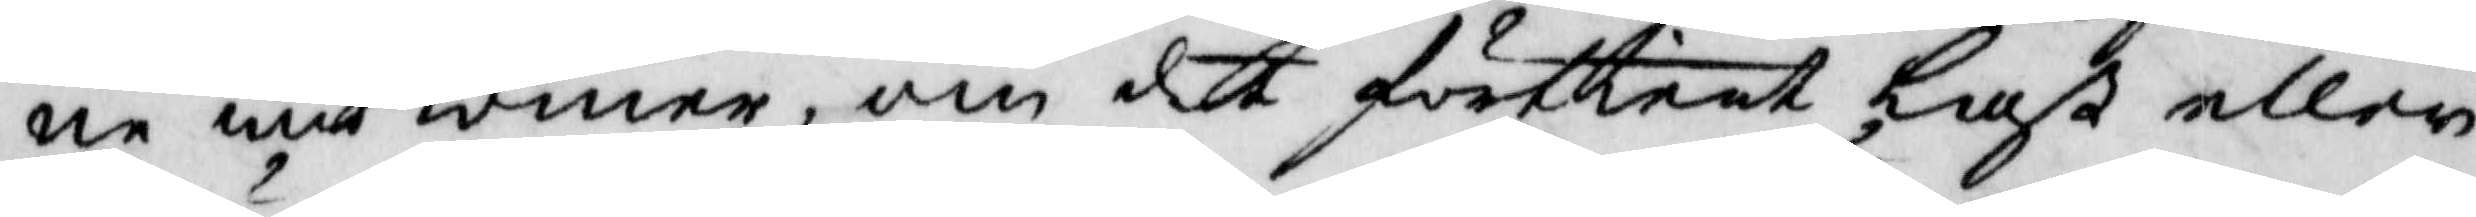ne widkomer, om det förtient last eller
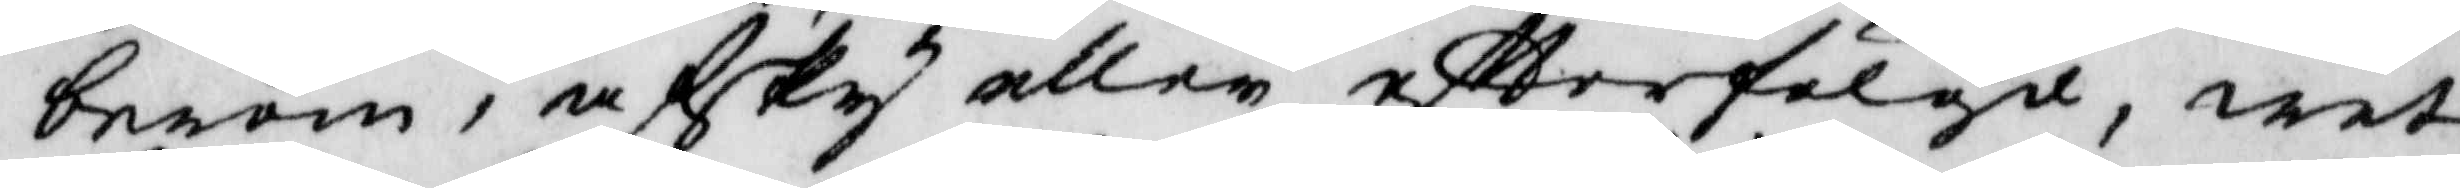beröm, afsky eller eftterfölgd, wet
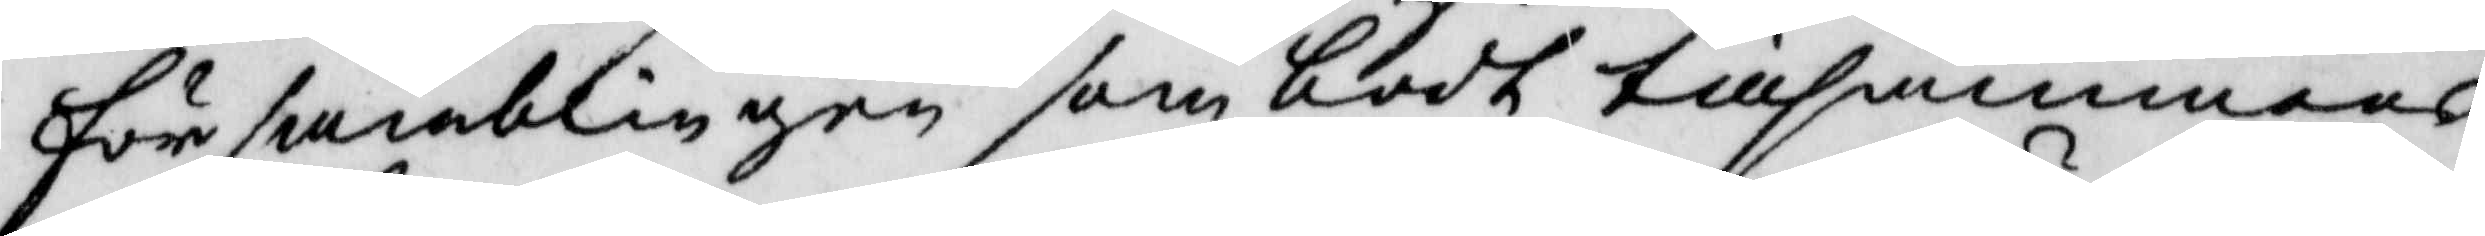församblingen som bodt tillsammans
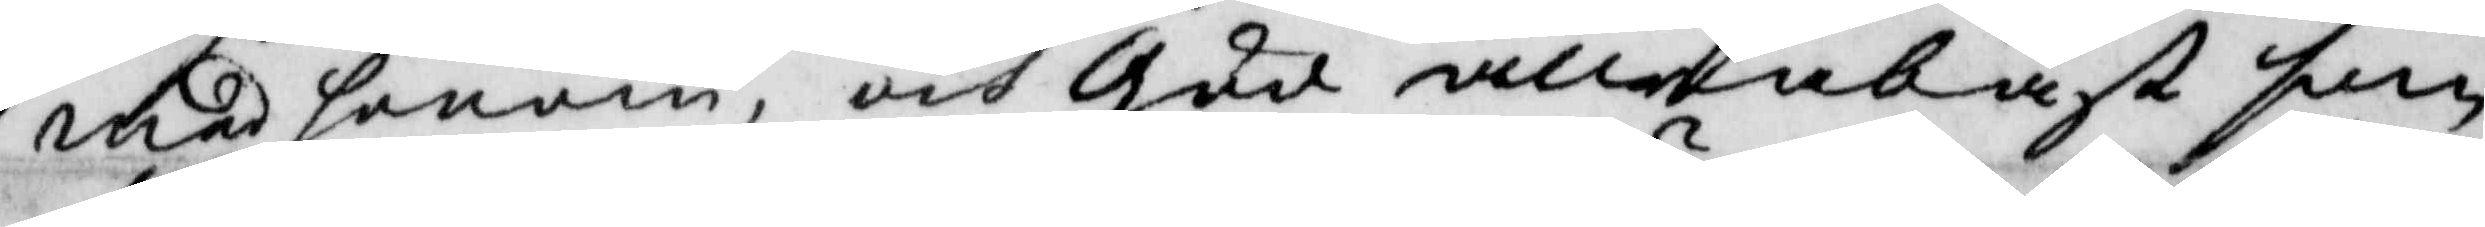med honom, och gud allena bäst som
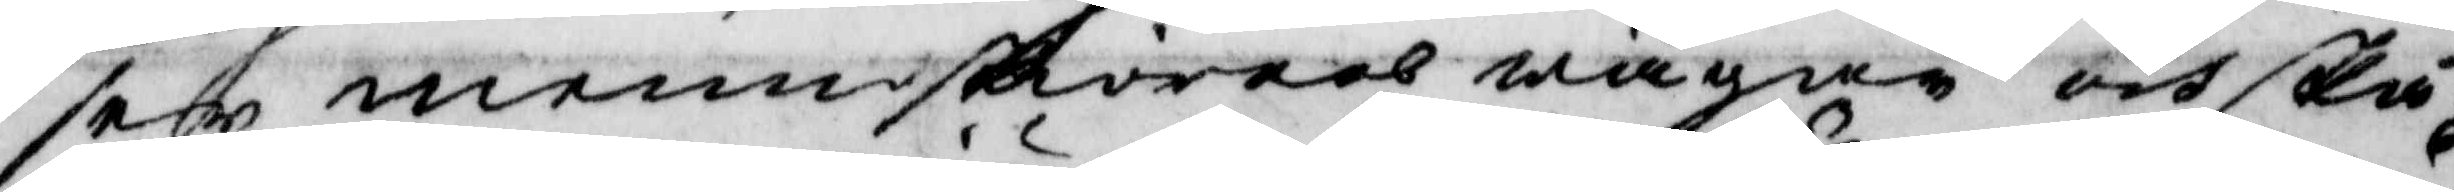ser menniskors wägar och skå¬
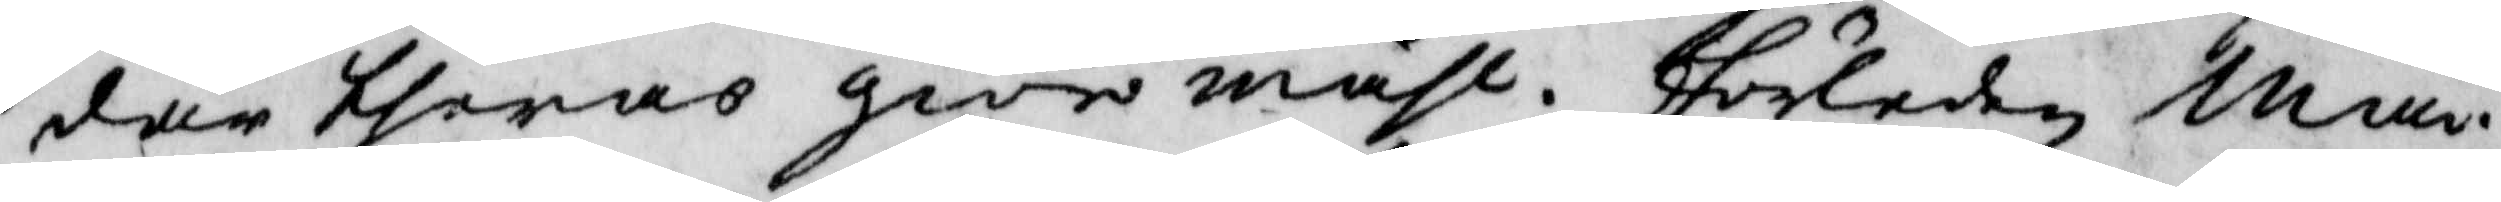dar theras giöro måhl, förleden mån¬
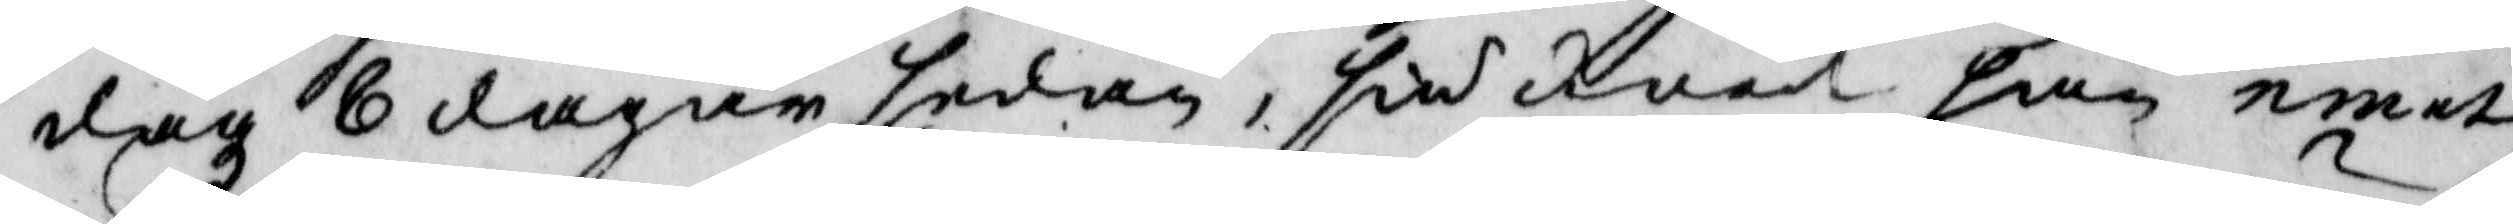dag 8 dagar sedan, siuknade han emot
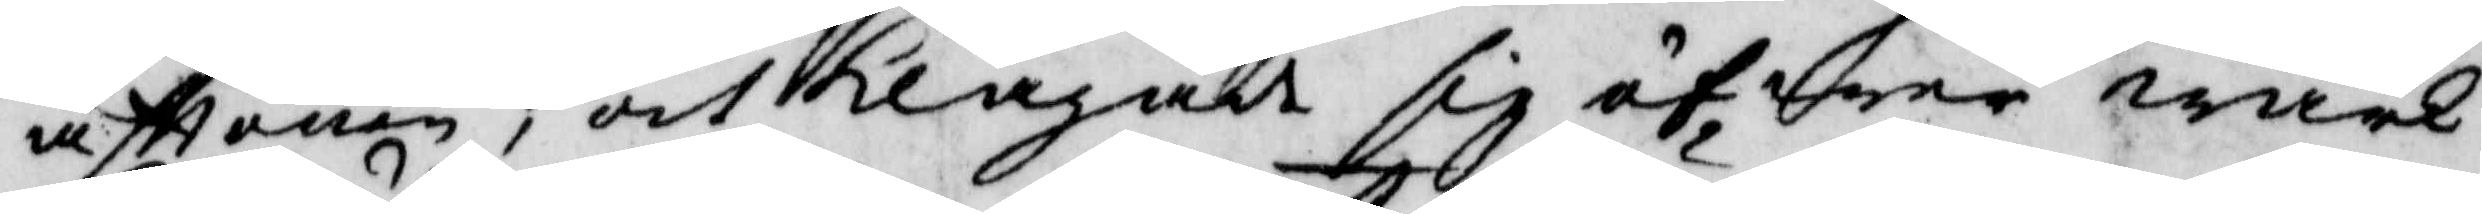afttonen, och klagade sig öfwer wärk
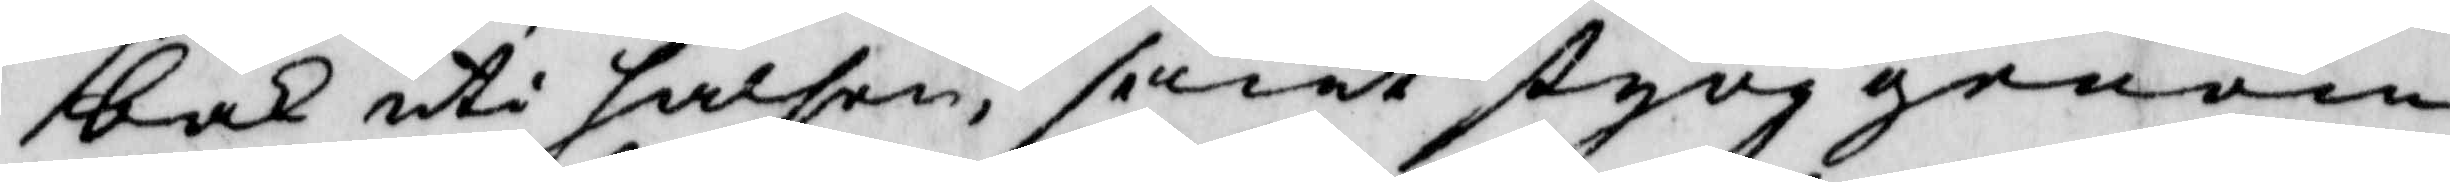bak uti halsen, samt styng genom
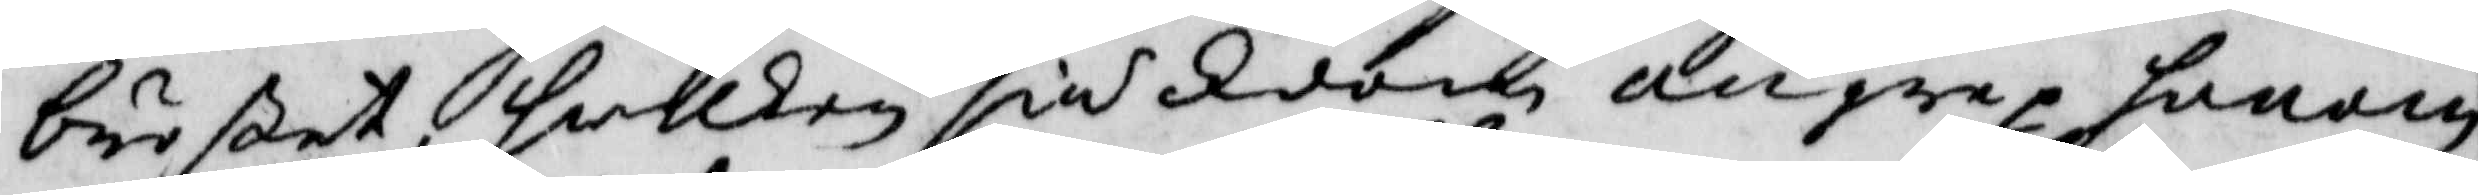brötet, hwilken siukdom angrep, honom
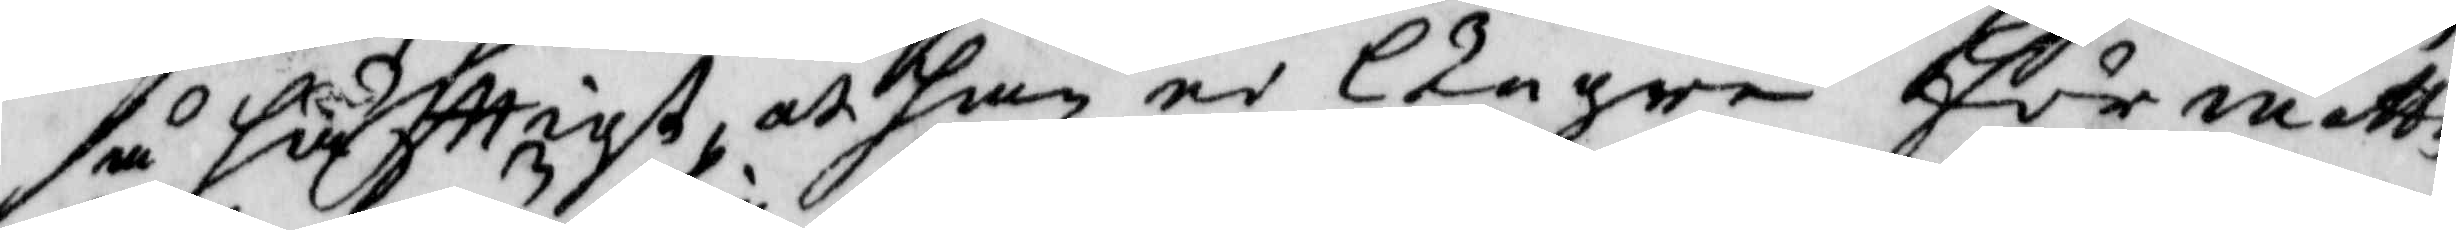så häfttigt, at han ei Längre för måtte
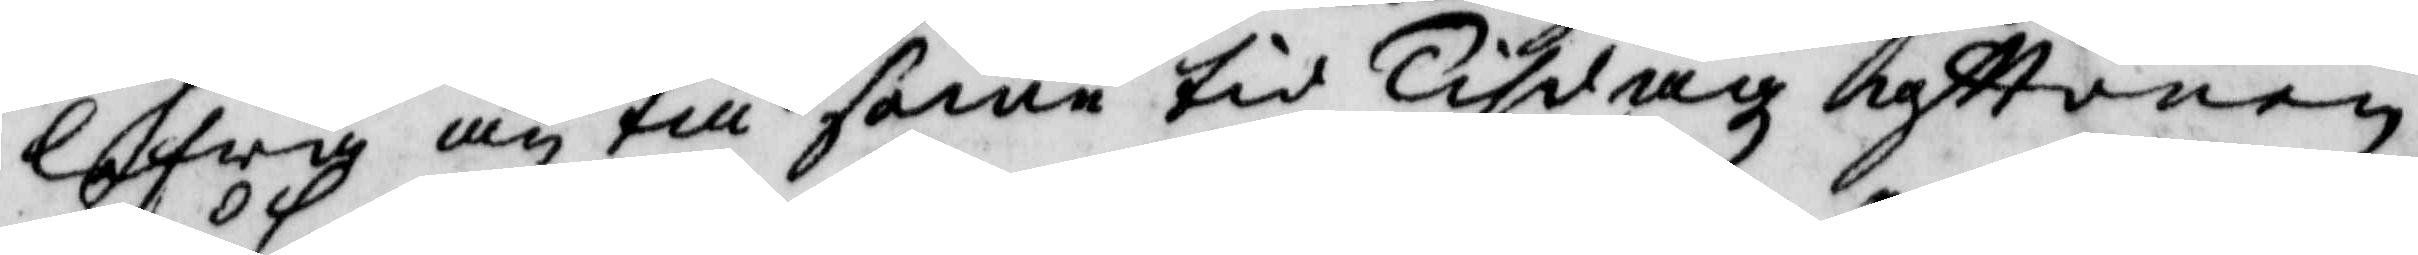lefwa än till same tid Tisdagz afttonen,
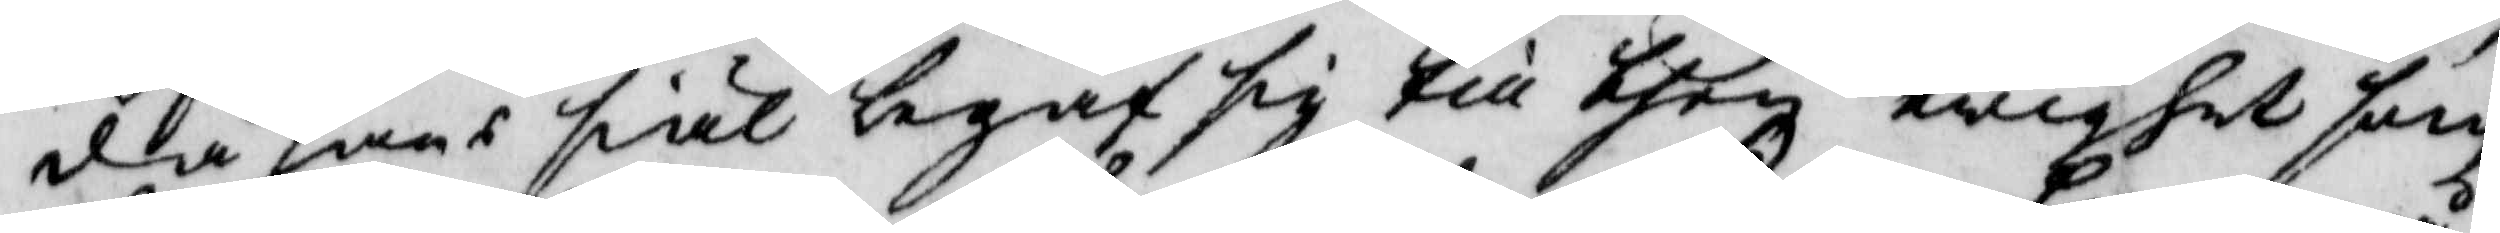då hans siäl begaf sig till then ewighet som
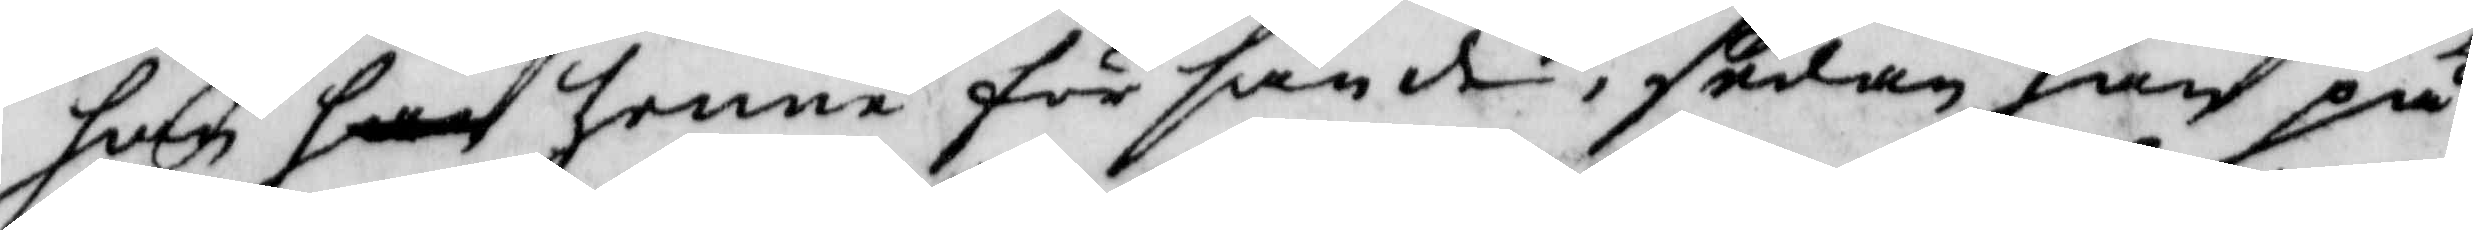han han henne försände, sedan han på
